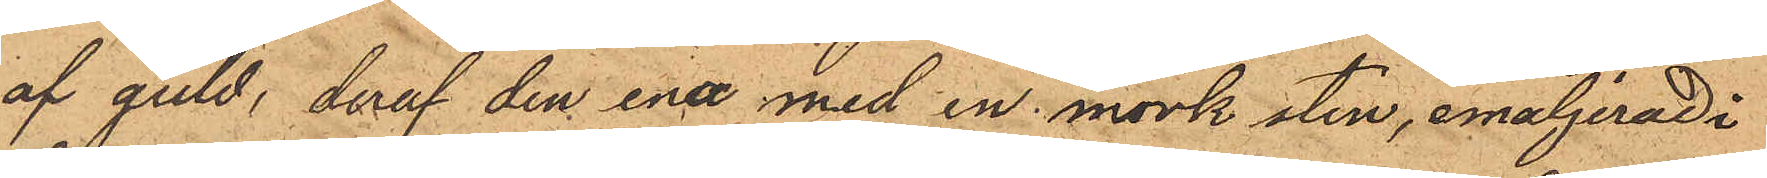af guld, deraf den ena med en mörk sten, emaljerad i
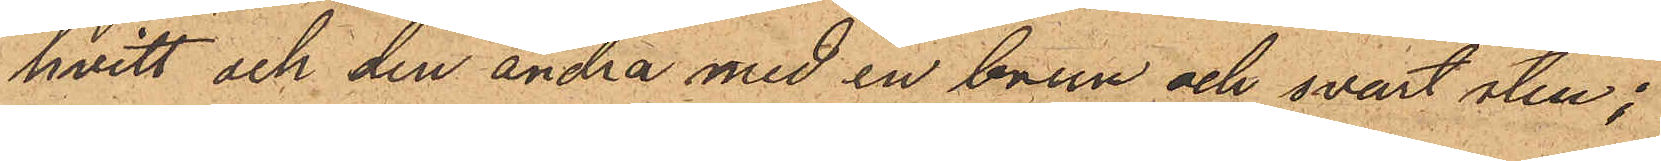hvitt och den andra med en brun och svart sten;
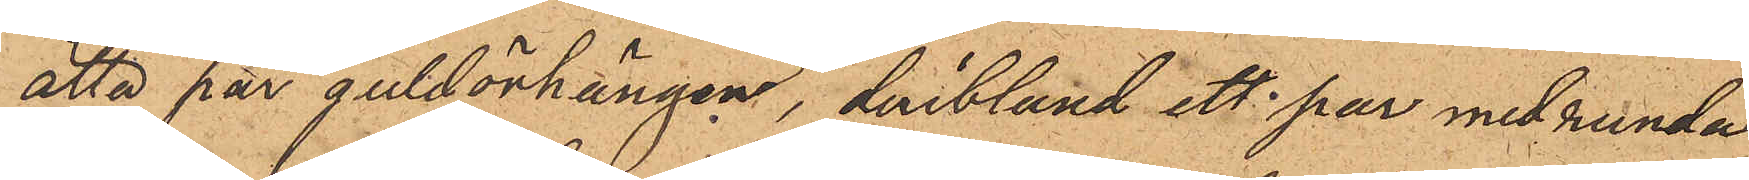åtta par guldörhängen, deribland ett par med runda
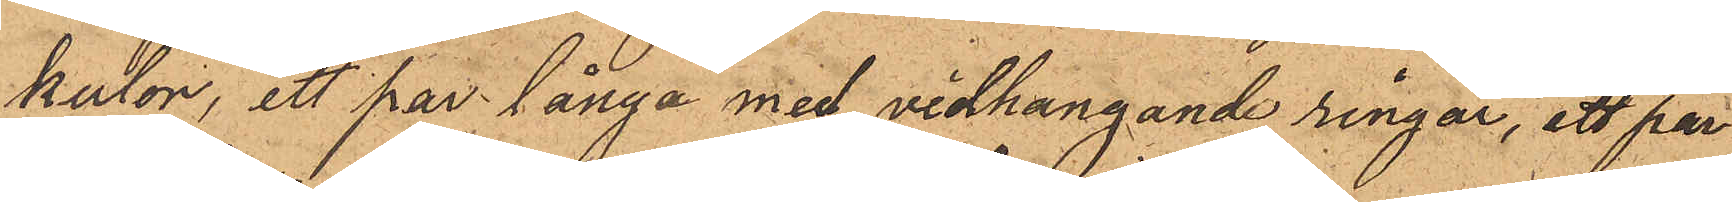kulor, ett par långa med vidhängande ringar, ett par
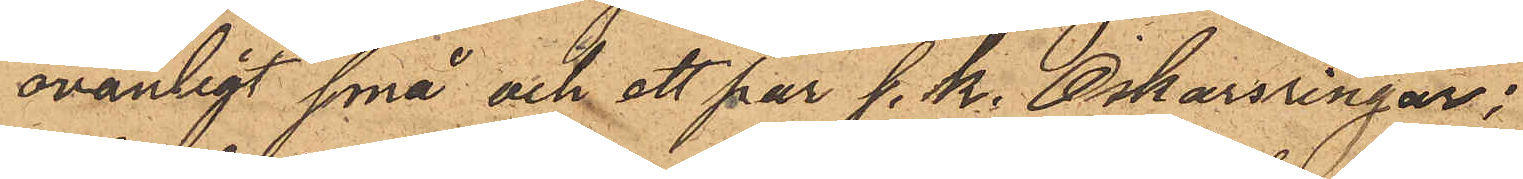ovanligt små och ett par s. k. Oskarsringar;
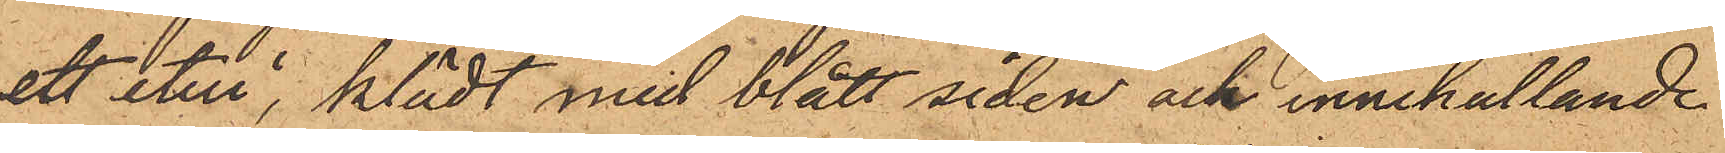ett etui, klädt med blått siden och innehållande
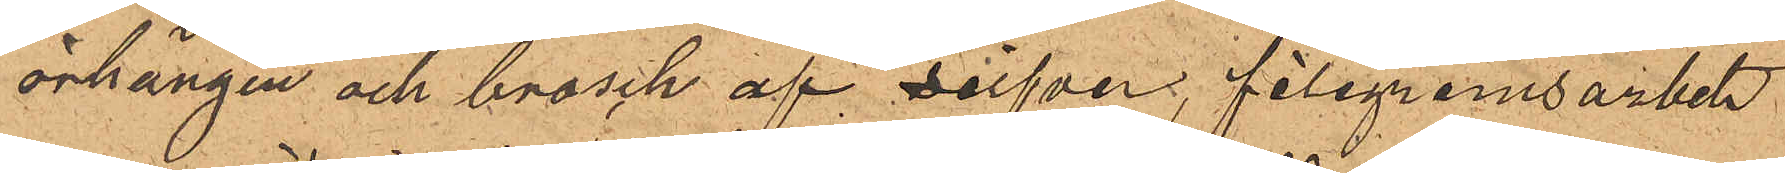örhängen och brosch af silfver, filigramsarbete
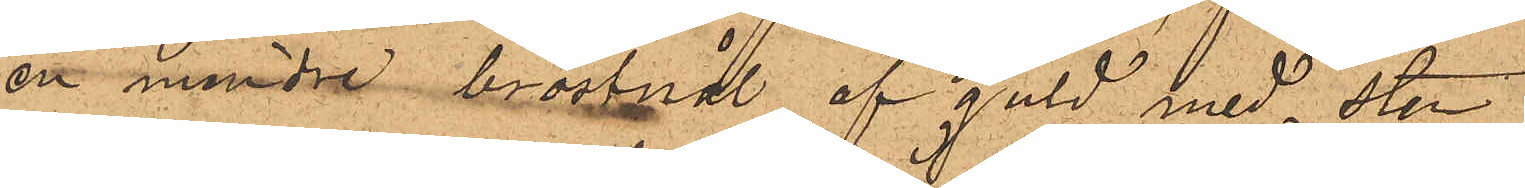en mindre bröstnål af guld med sten
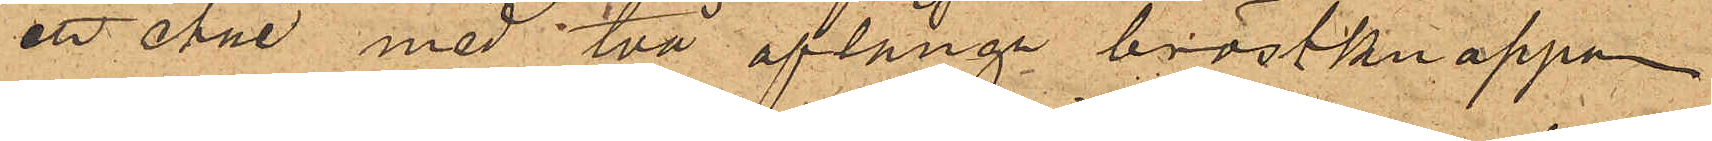ett etui med två aflånga bröstknappar
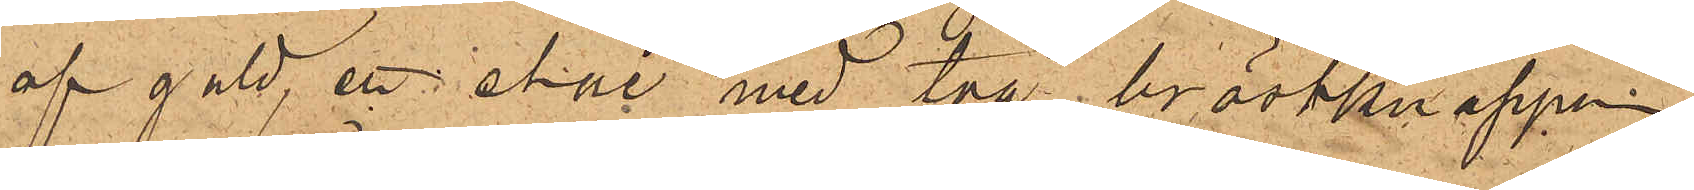af guld, ett etui med två bröstknappar
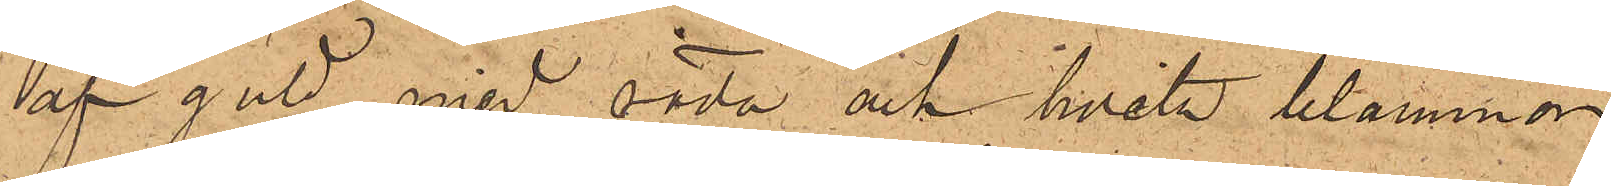af guld med röda och hvita blommor
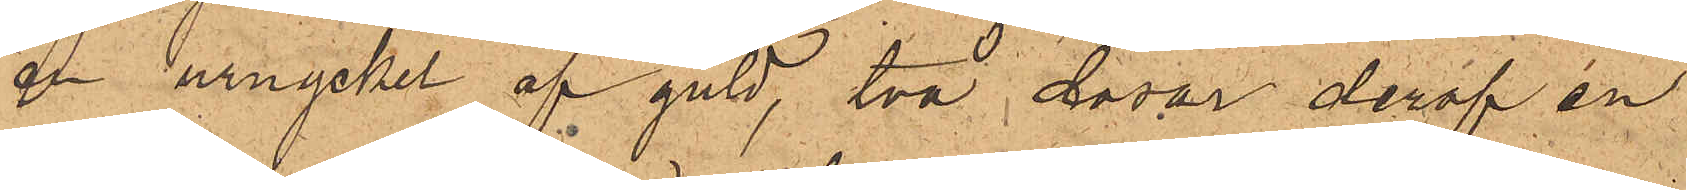en urnyckel af guld, två dosor deraf en
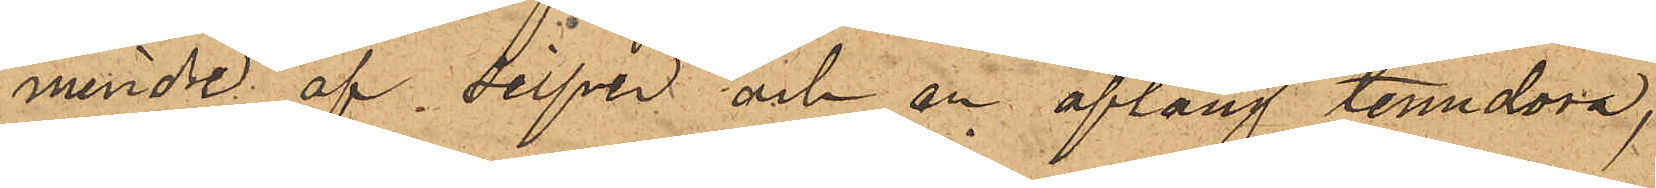mindre af silfver och en aflång tenndosa,
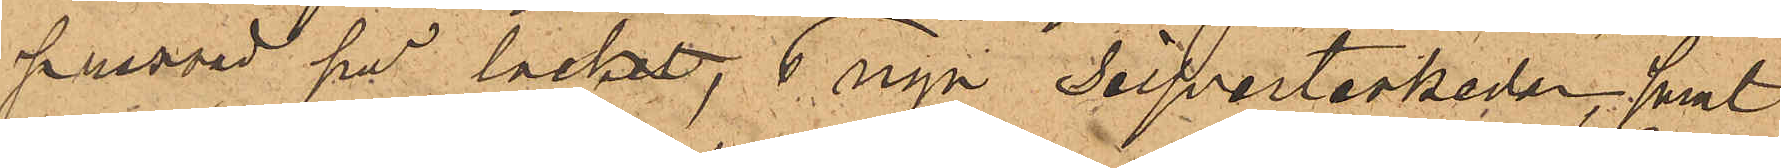pressad på locket, 6 nya Silfverteskedar, samt
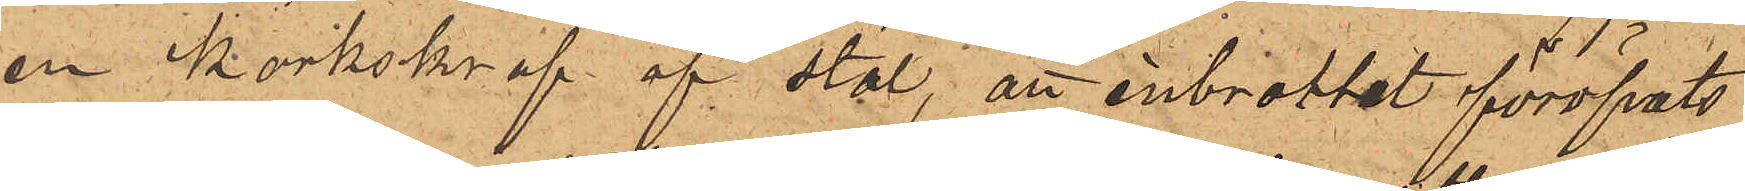en korkskruf af stål, att inbrottet föröfvats
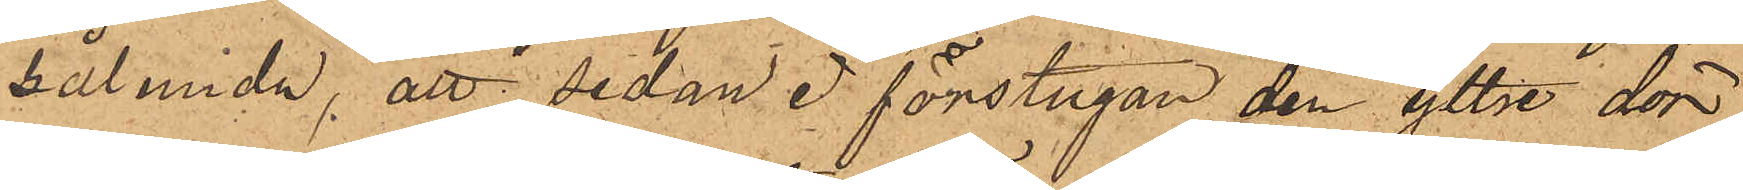sålunda, att sedan i förstugan den yttre dör¬
